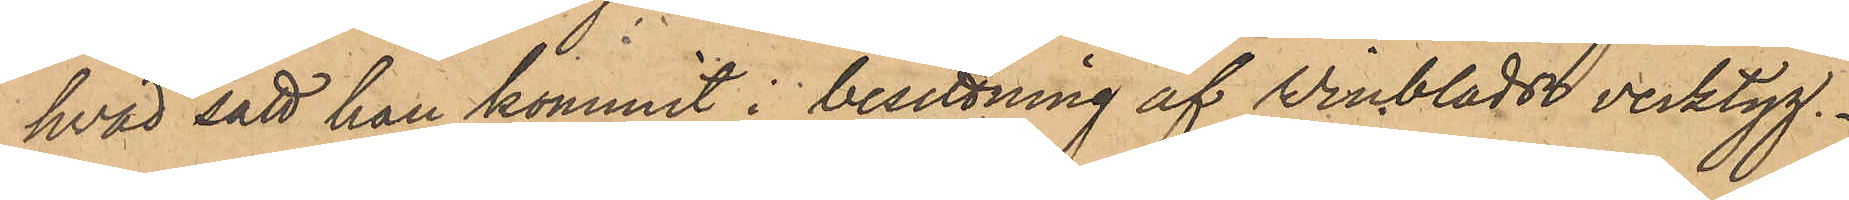hvad sätt han kommit i besittning af Winblads verktyg.
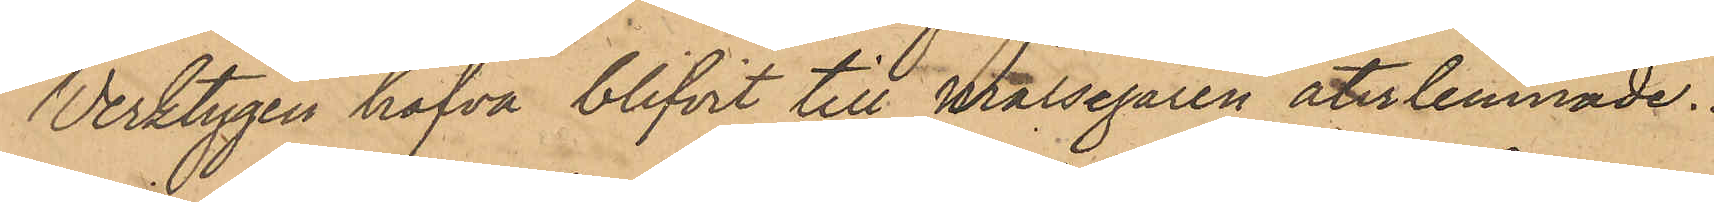Verktygen hafva blifvit till målsegaren återlemnade.
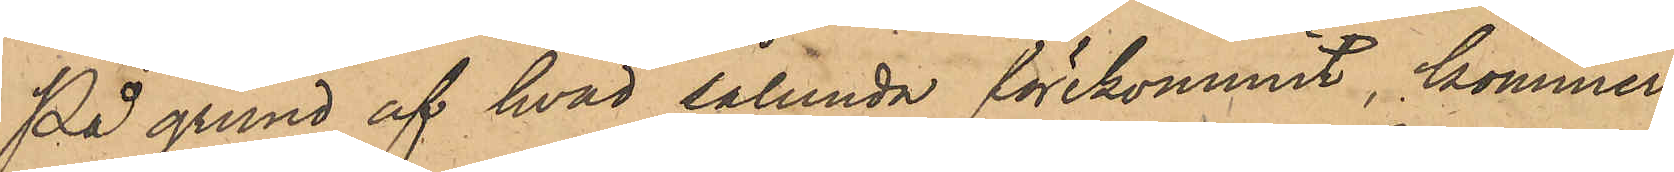På grund af hvad sålunda förekommit, kommer
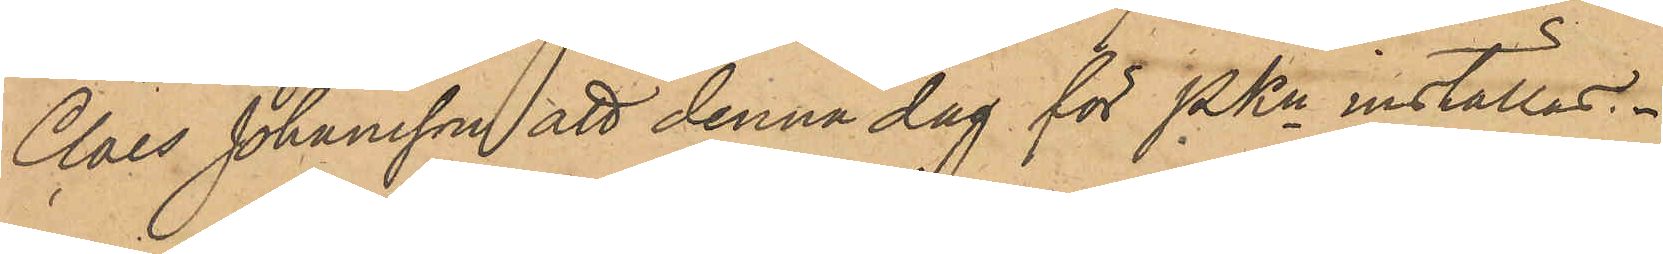Claes Johansson att denna dag för PKn inställas.
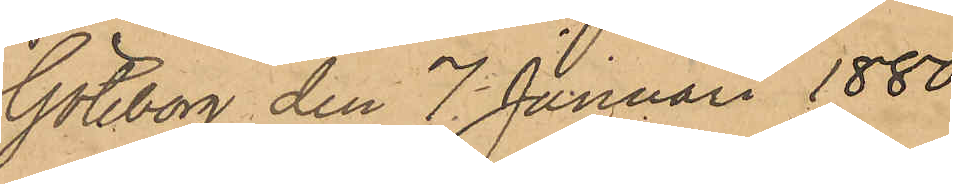Göteborg den 7 Januari 1880.
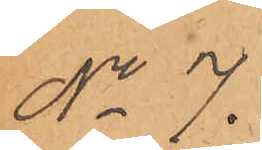No 7.
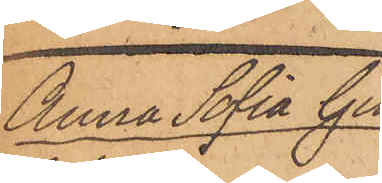Anna Sofia Gu¬
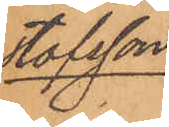stafsson
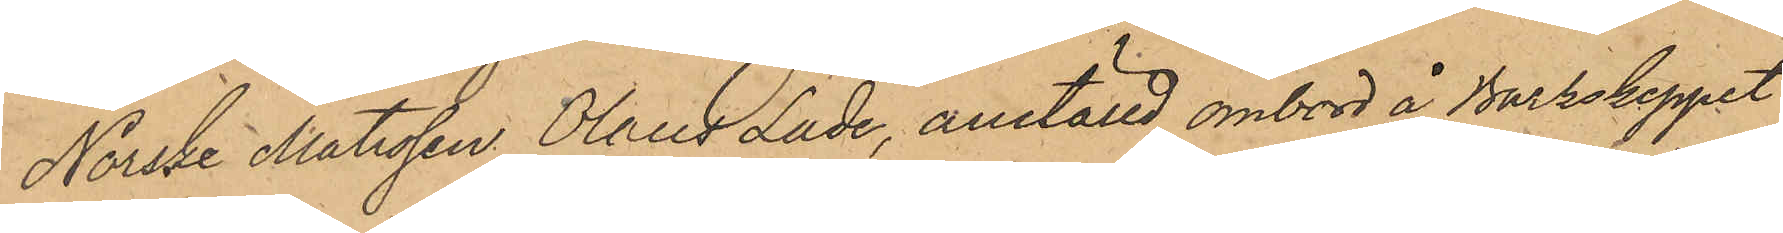Norske Matrosen Olaus Lade, anställd ombord å Barkskeppet
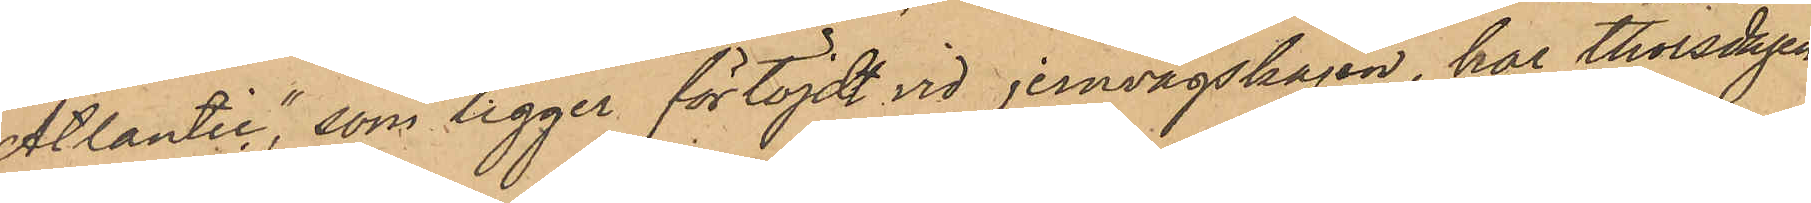"Atlantic", som ligger förtöjdt vid jernvågskajen, har thorsdagen
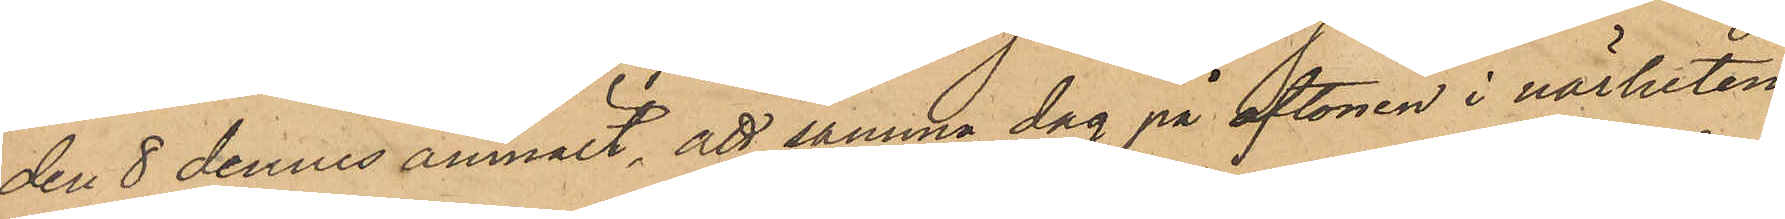den 8 dennes anmält, att samma dag på aftonen i närheten
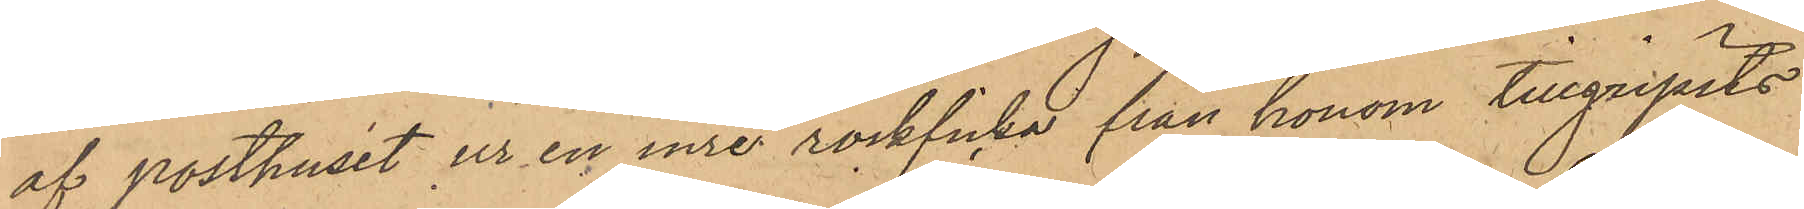af posthuset ur en inre rockficka från honom tillgripits
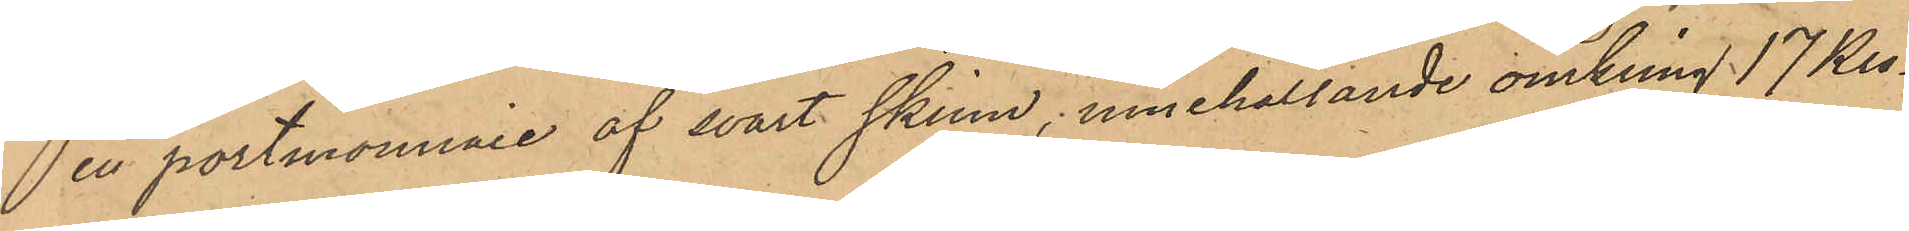en portmonnaie af svart skinn, innehållande omkring 17 Kro¬
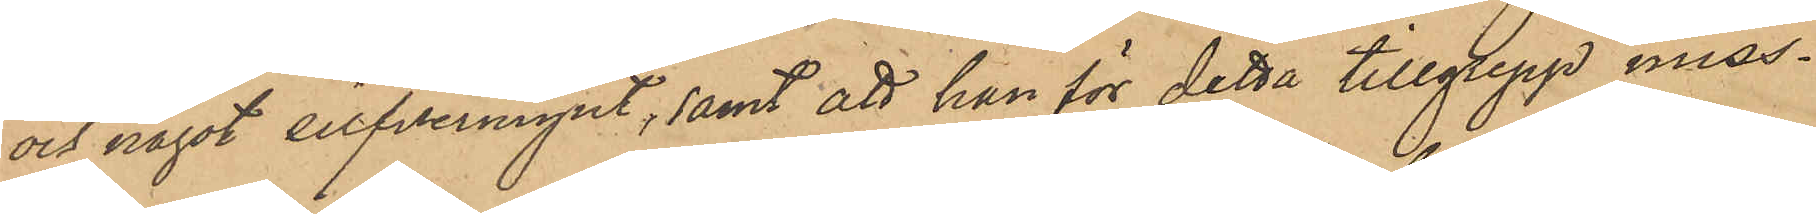och något silfvermynt, samt att han för detta tillgrepp miss¬
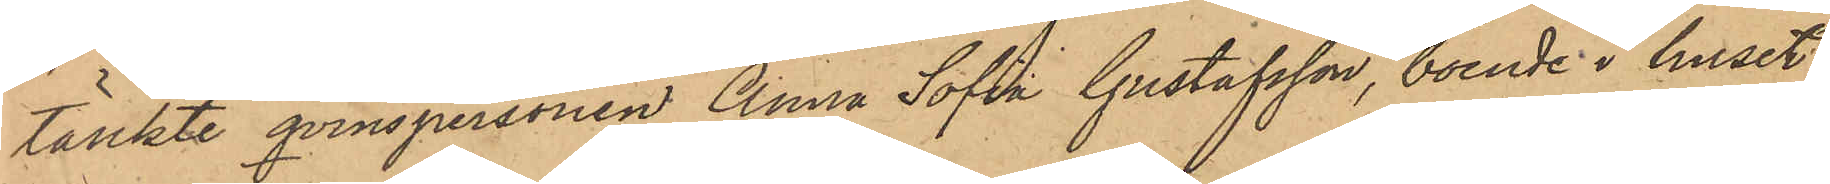tänkte qvinspersonen Anna Sofia Gustafsson, boende i huset
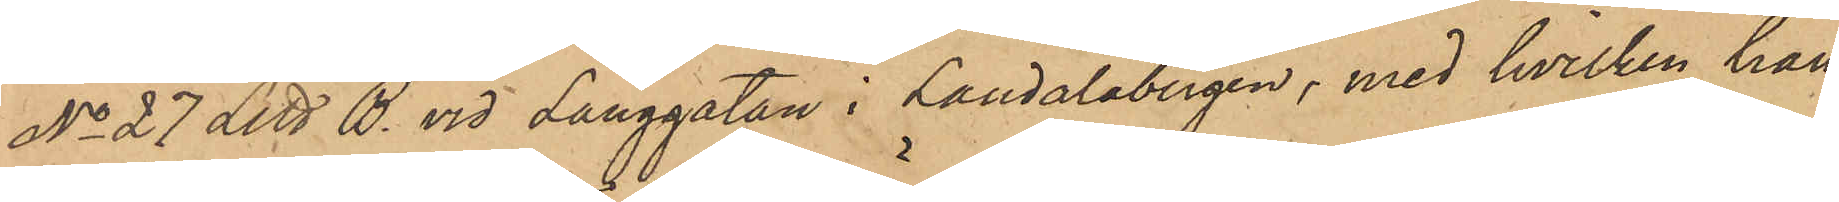No 27 Litt B. vid Långgatan i Landalabergen, med hvilken han
